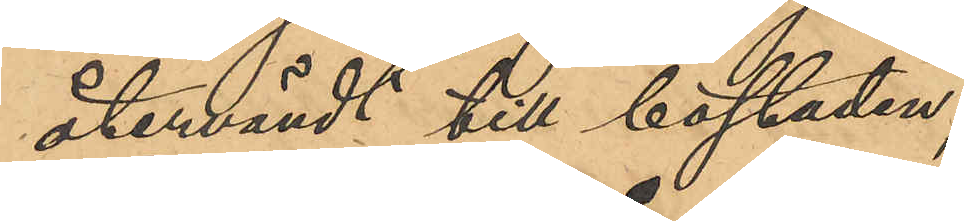återvändt till bostaden.
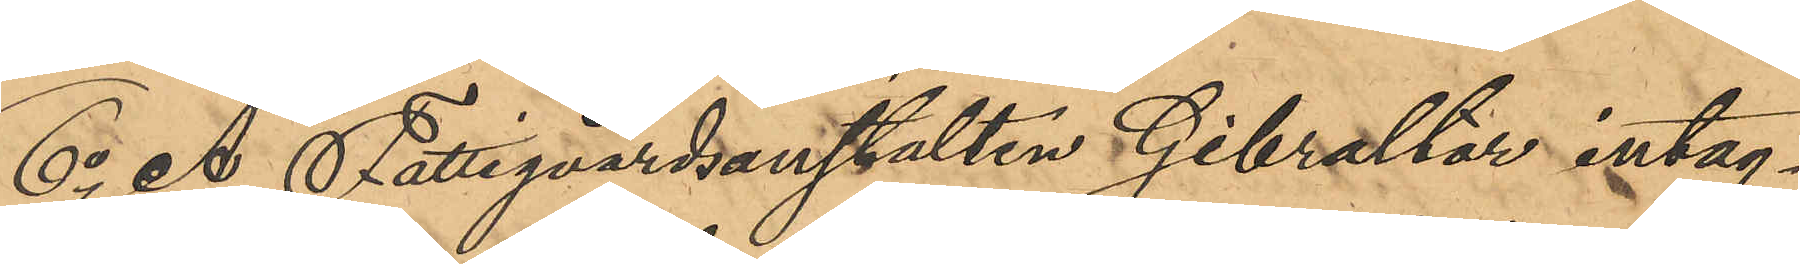6o Å Fattigvårdsanstalten Gibraltar intag¬
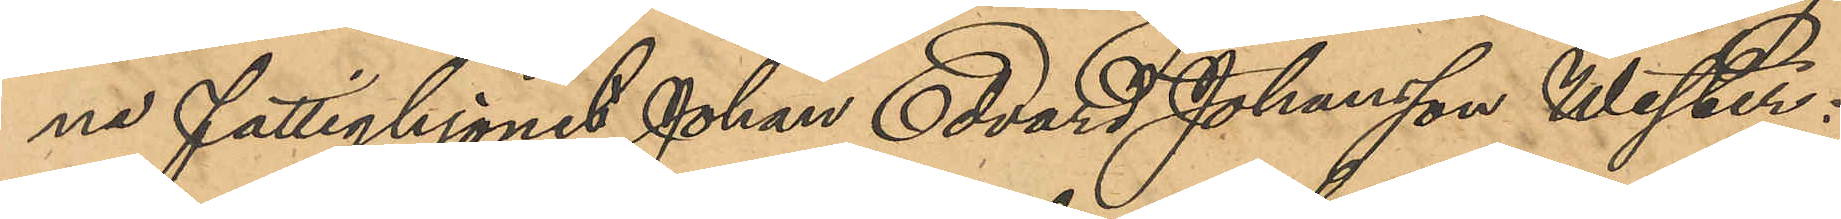ne fattighjonet Johan Edvard Johansson Wester:
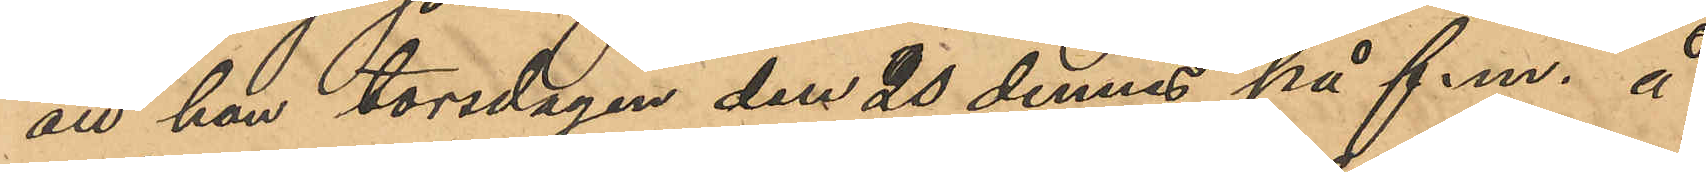att han torsdagen den 20 dennes på f. m. å
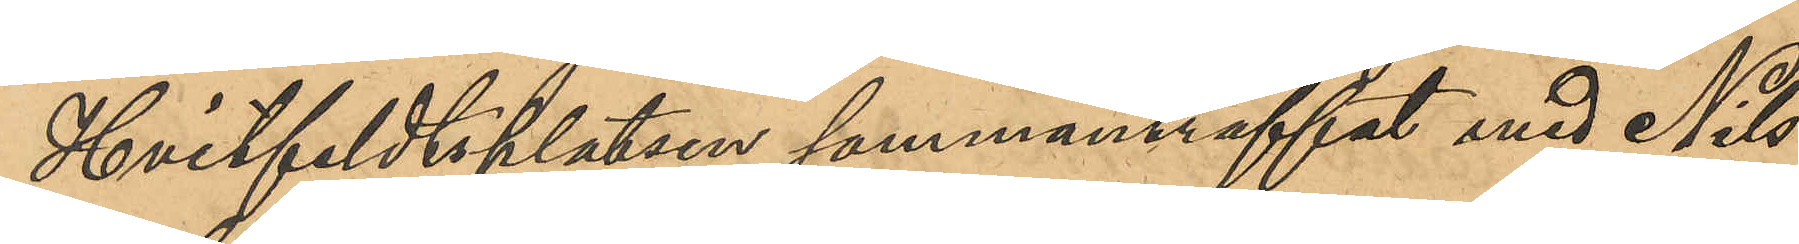Hvitfeldtsplatsen sammanträffat med Nils
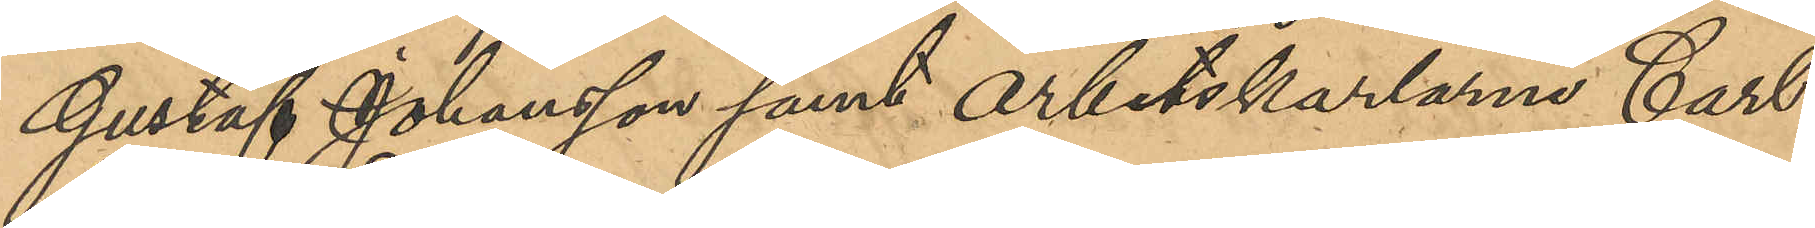Gustaf Johansson samt arbetskarlarne Carl
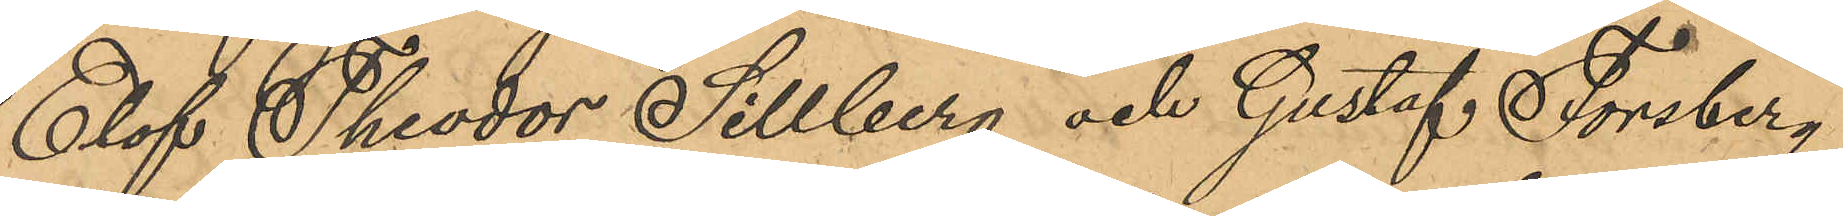Elof Theodor Sillberg och Gustaf Forsberg;
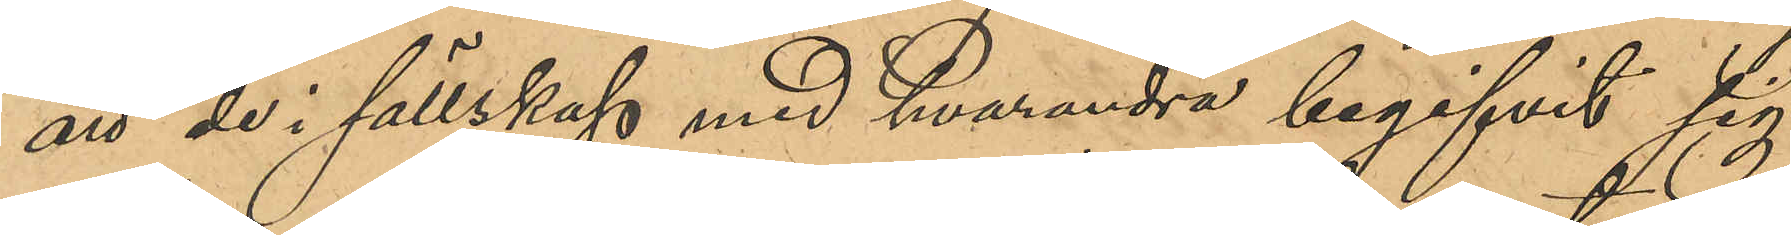att de i sällskap med hvarandra begifvit sig
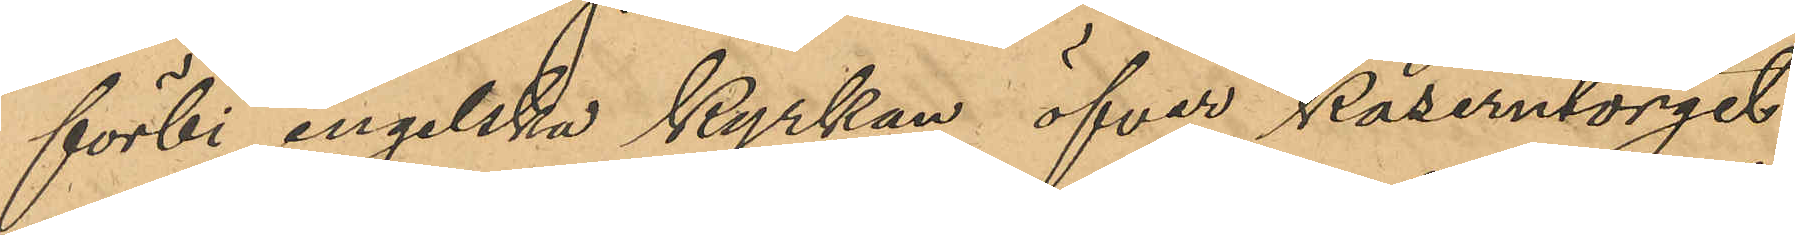förbi engelska kyrkan öfver Kaserntorget
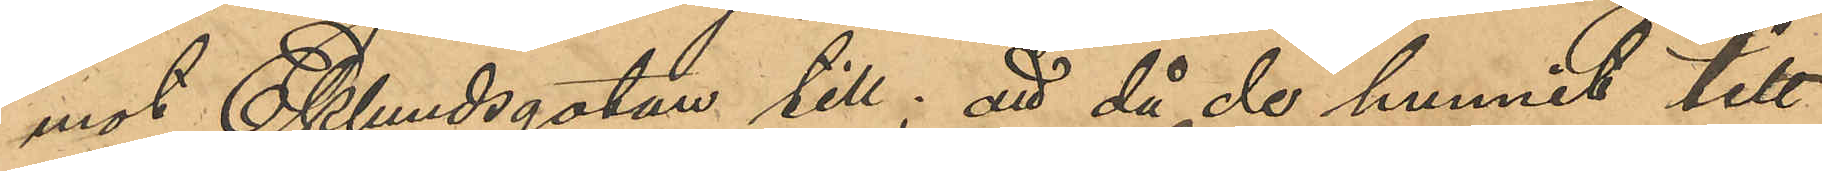mot Eklundsgatan till; att då de hunnit till
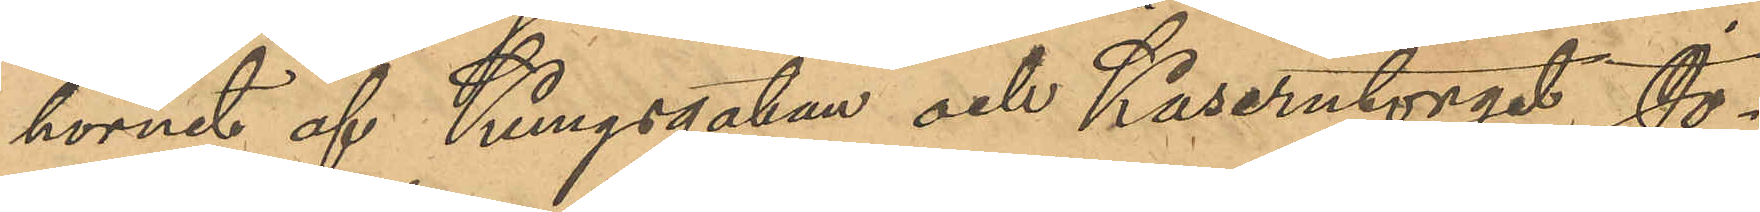hörnet af Kungsgatan och Kaserntorget Jo¬
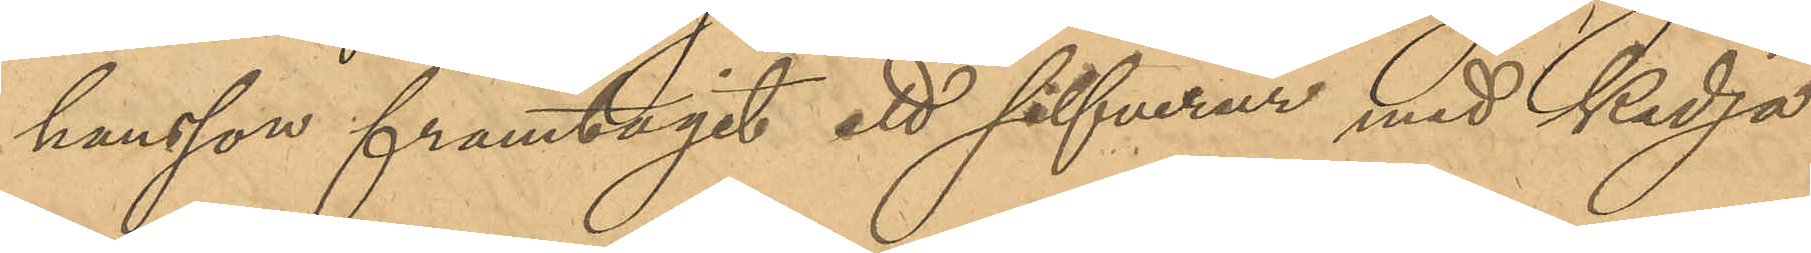hansson framtagit ett silfverur med kedja
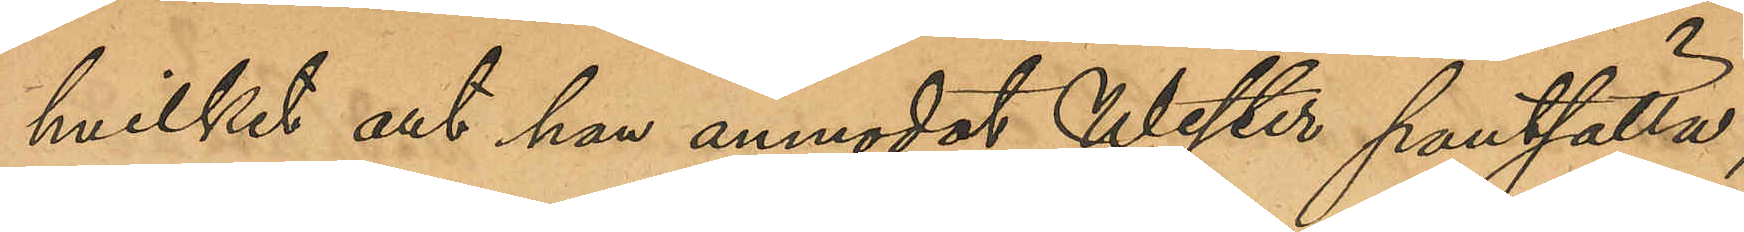hvilket det han anmodat Wester pantsätta;
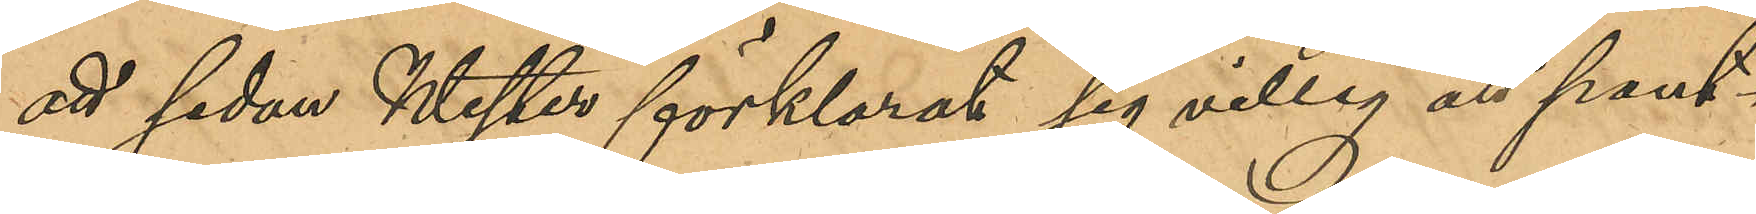att sedan Wester förklarat sig villig att pant¬
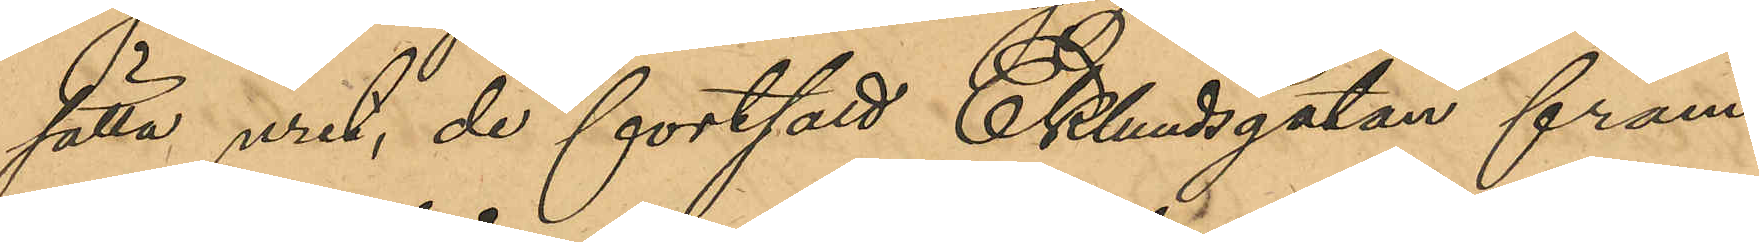sätta uret, de fortsatt Eklundsgatan fram
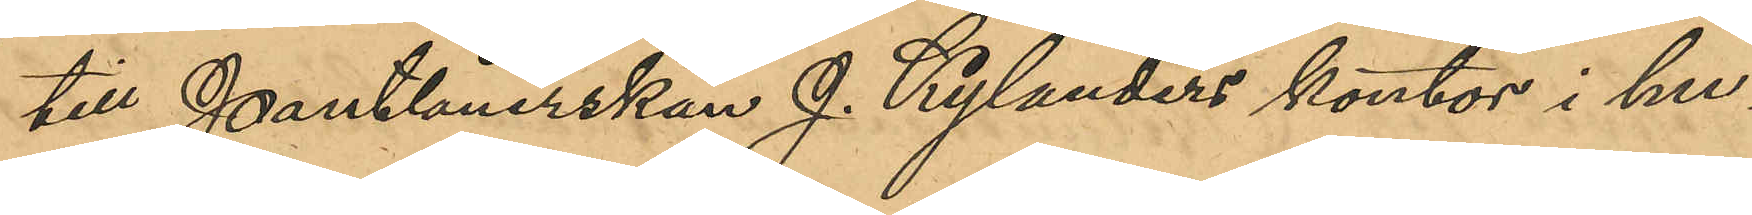till Pantlånerskan J. Kylanders kontor i hu¬
